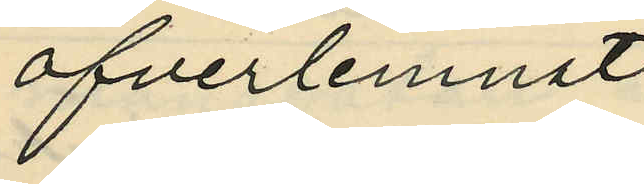öfverlemnat
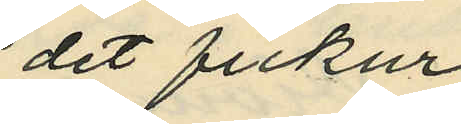det fickur
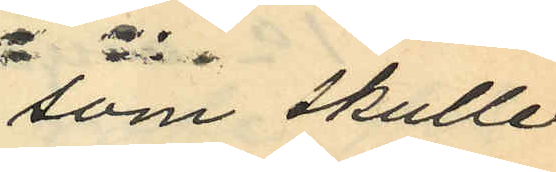som skulle
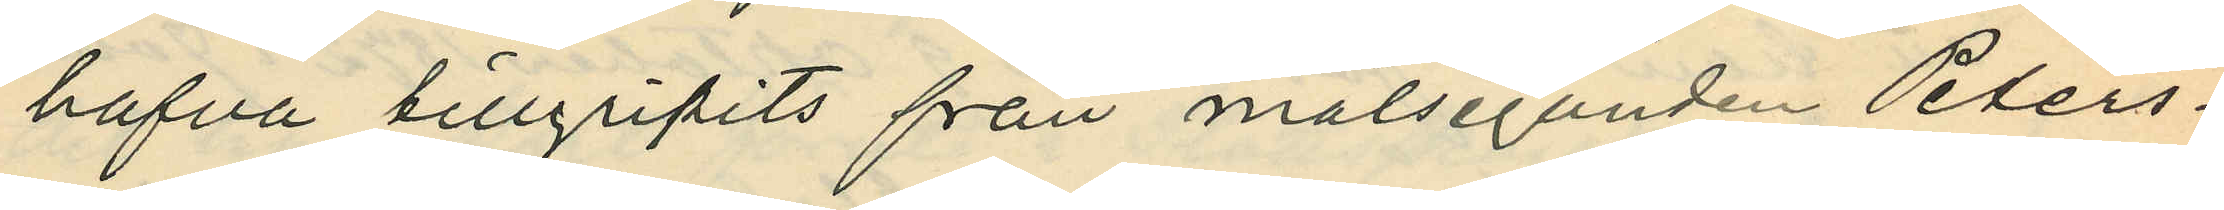hafva tillgripits från målseganden Peters¬
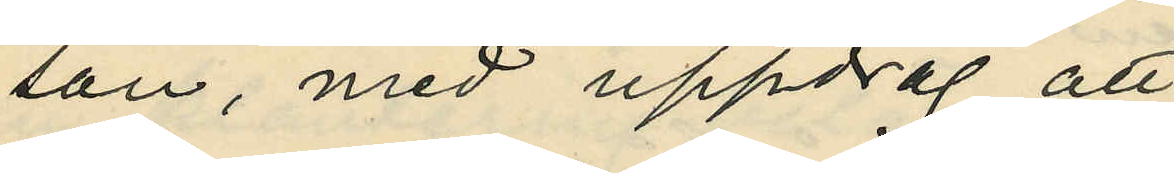son, med uppdrag att
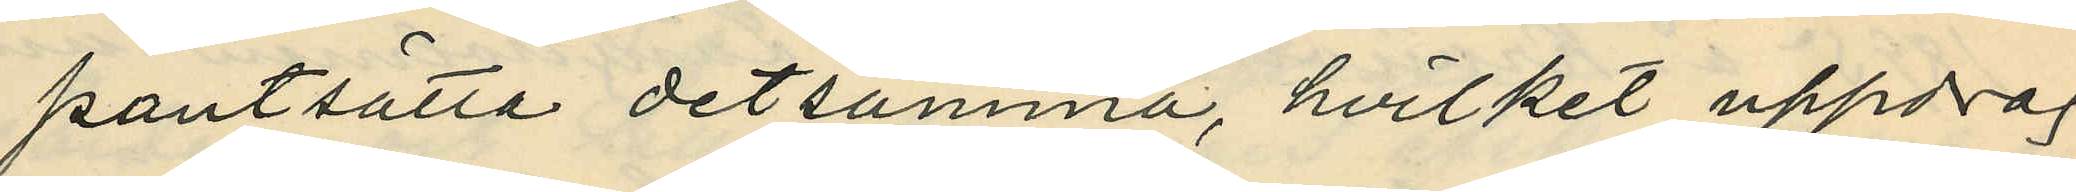pantsätta detsamma, hvilket uppdrag
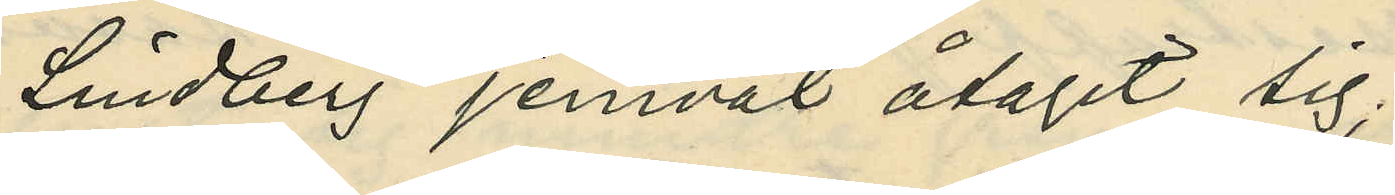Lindberg jemväl åtagit sig;
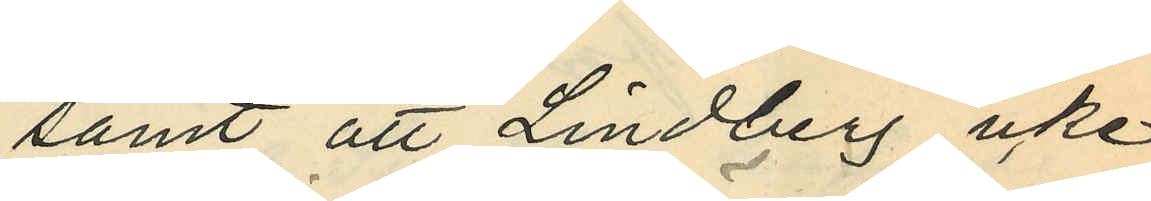samt att Lindberg icke
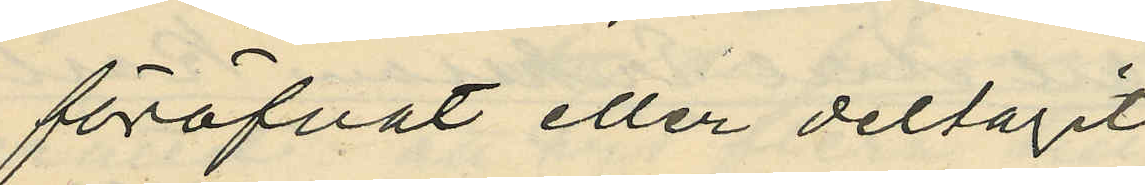föröfvat eller deltagit
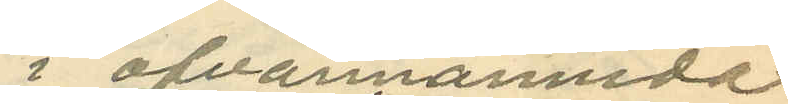i ofvannämnda
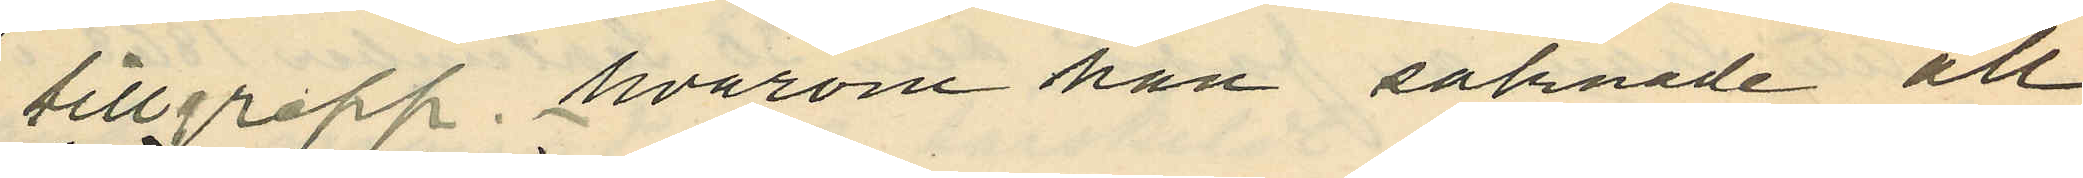tillgrepp, hvarom han saknade all
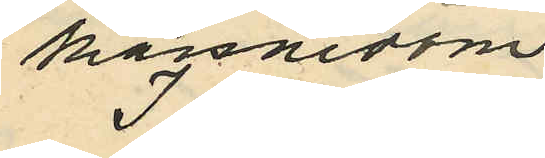kännedom
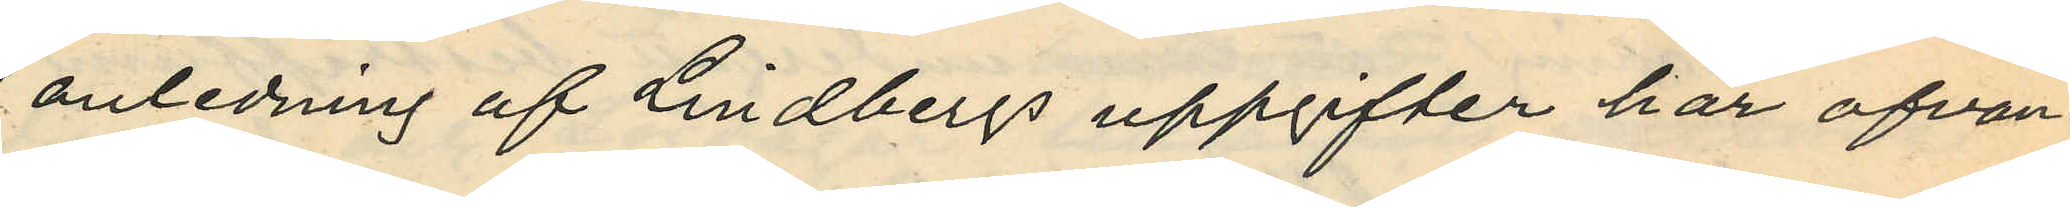I anledning af Lindbergs uppgifter har ofvan¬
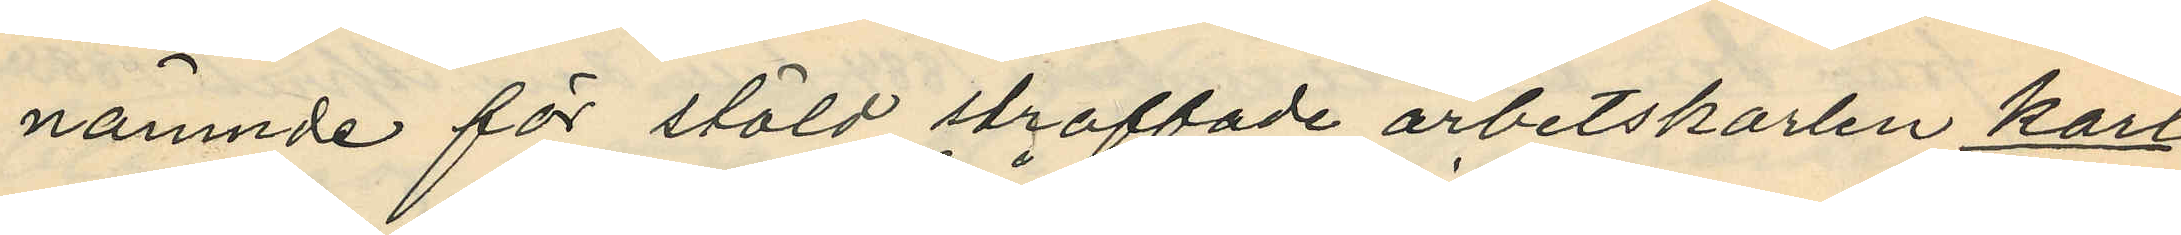nämnde för stöld straffade arbetskarlen Karl
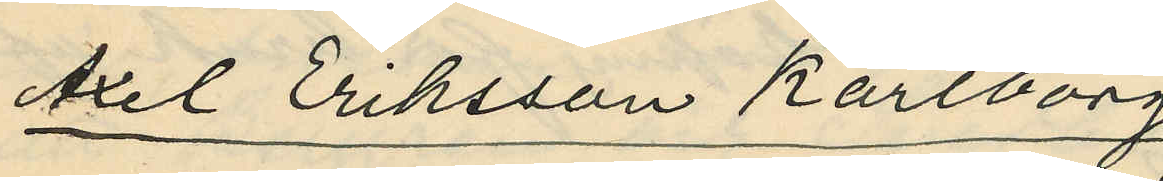Axel Eriksson Karlborg
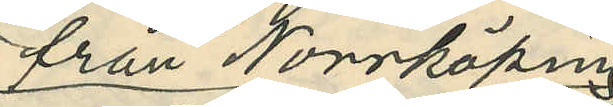från Norrköping,
